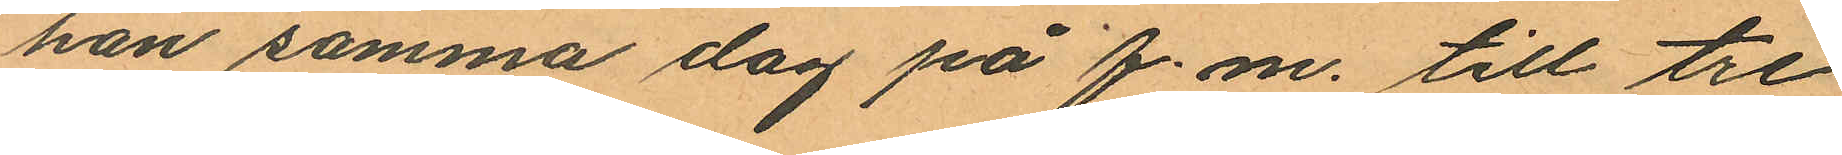han samma dag på f.m. till tre
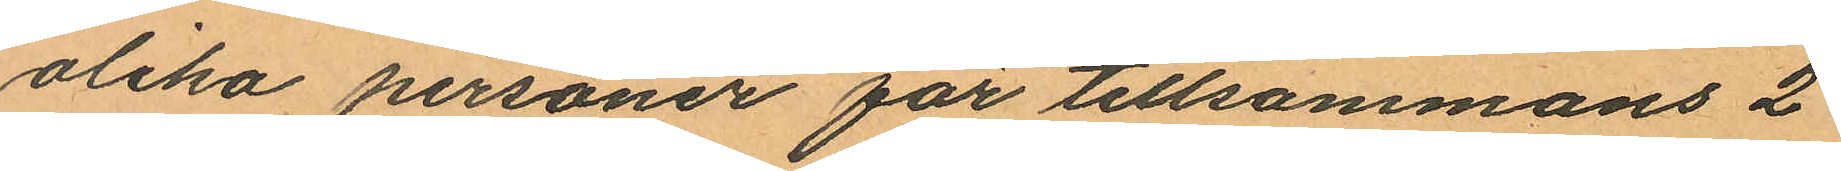olika personer för tillsammans 2
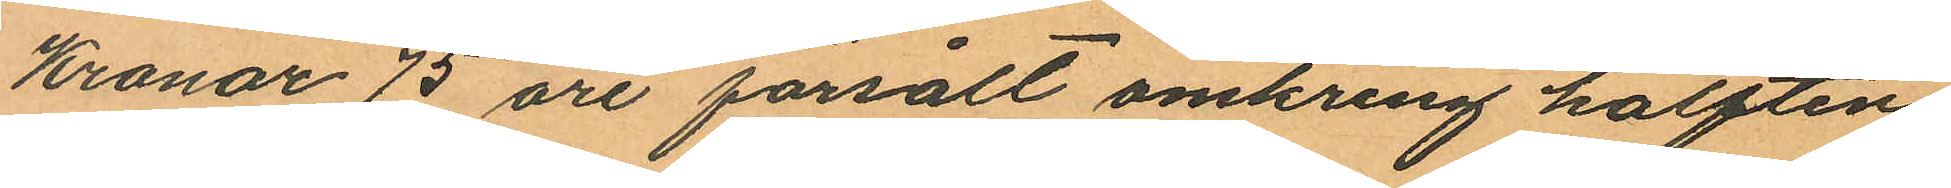Kronor 75 öre försålt omkring hälften
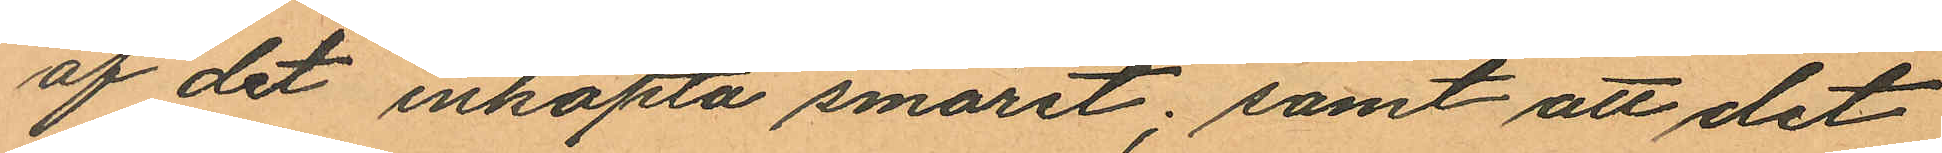af det inköpta smöret; samt att det
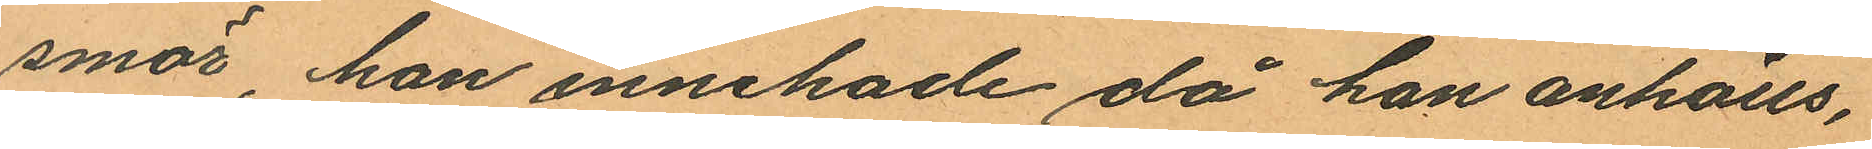smör, han innehade då han anhölls,
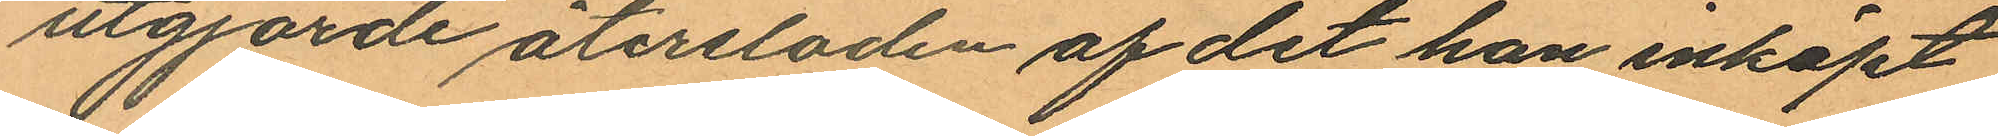utgjorde återsloden af det han inköpt
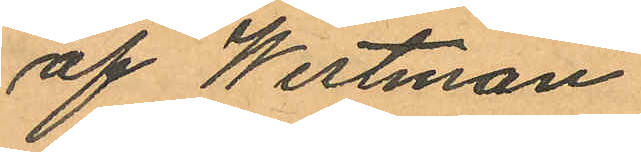af Westman.
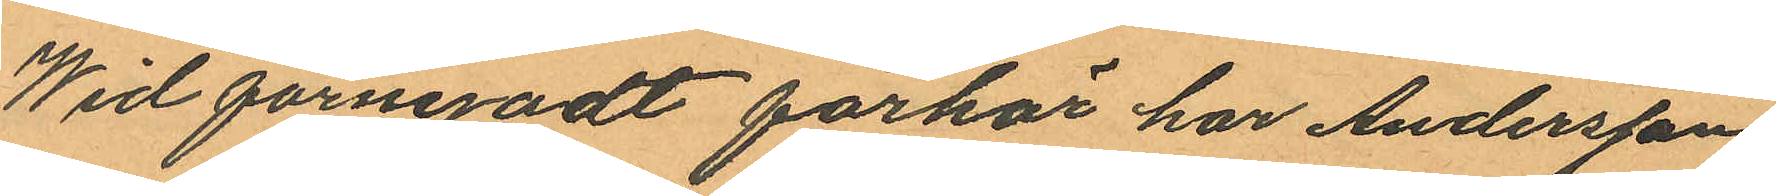Wid förnyadt förhör har Andersson
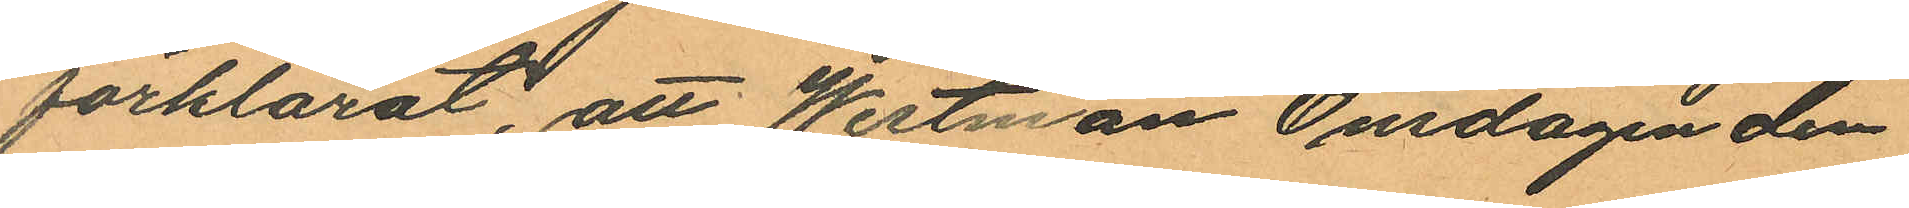förklarat, att Westman Onsdagen den
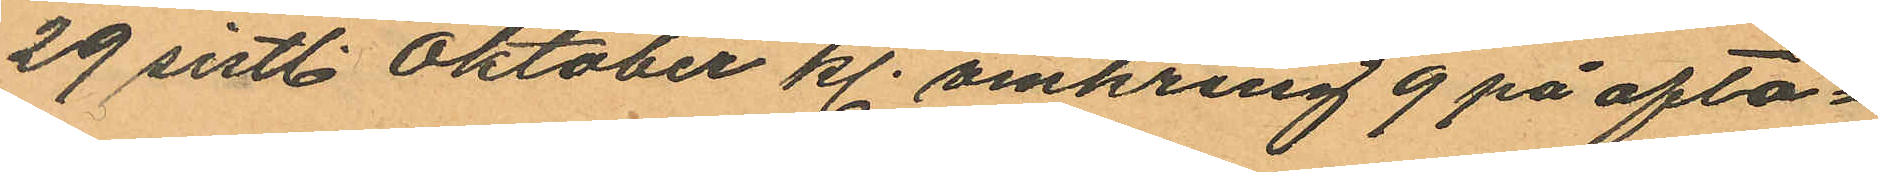29 sistl. Oktober kl. omkring 9 på afto¬
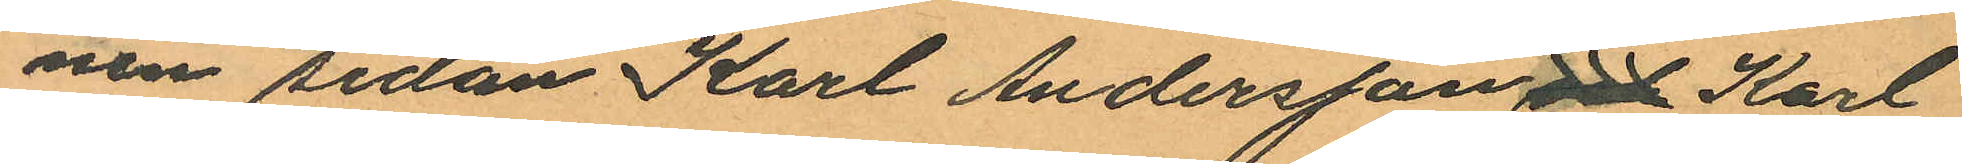nen sedan Karl Andersson och Karl
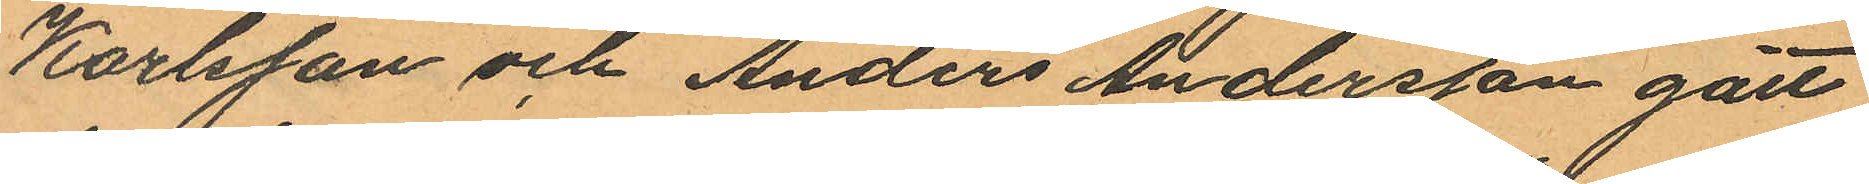Karlsson och Anders Andersson gått
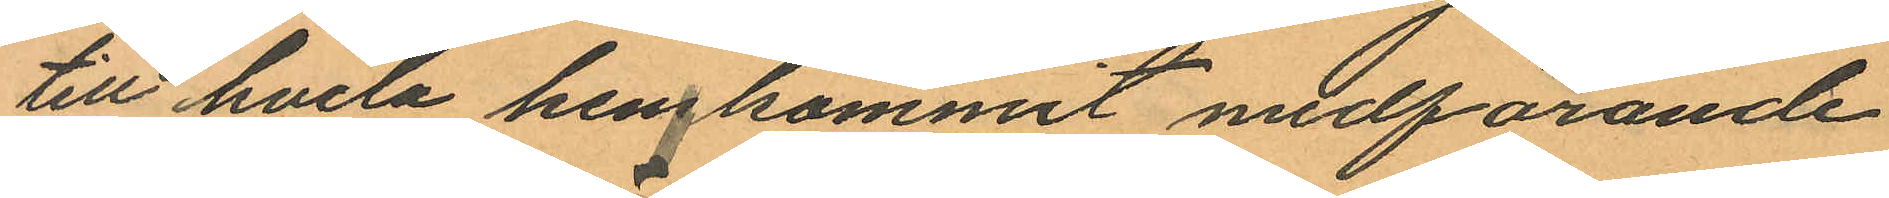till hvila hemkommit medförande
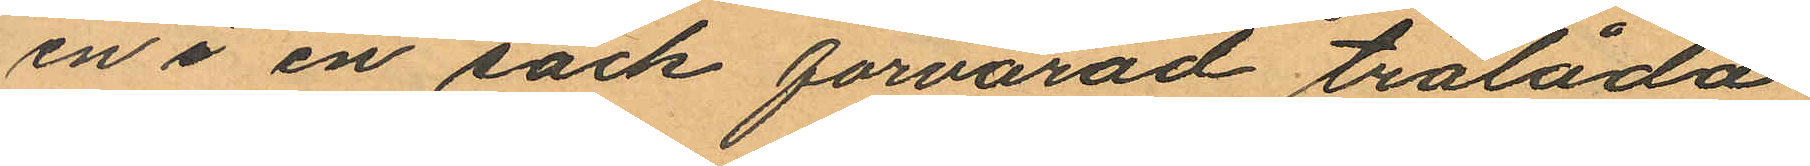en i en säck förvarad trälåda
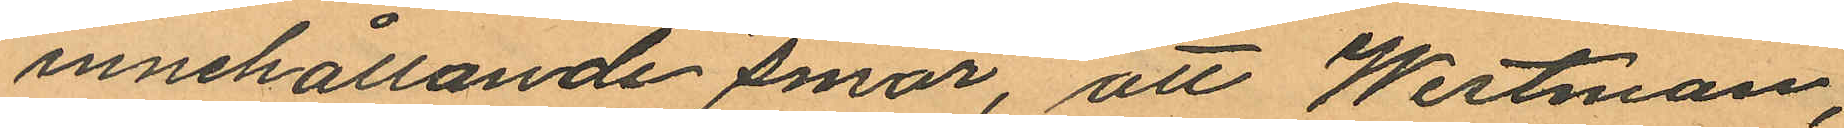innehållande smör, att Westman,
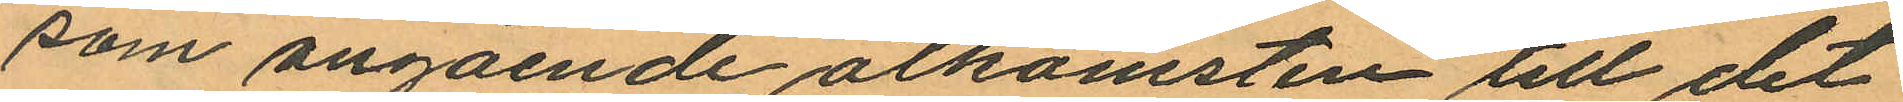som angående åtkomsten till det
